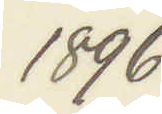1896
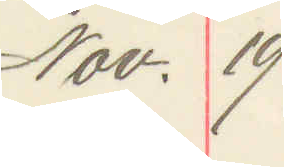Nov. 19
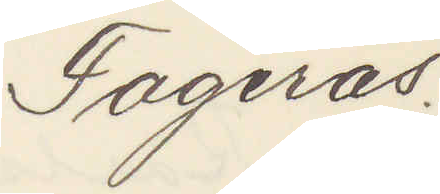Fagerås.
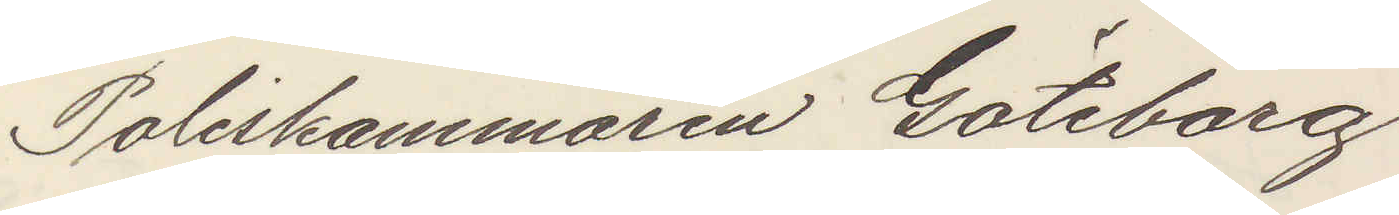Poliskammaren Göteborg
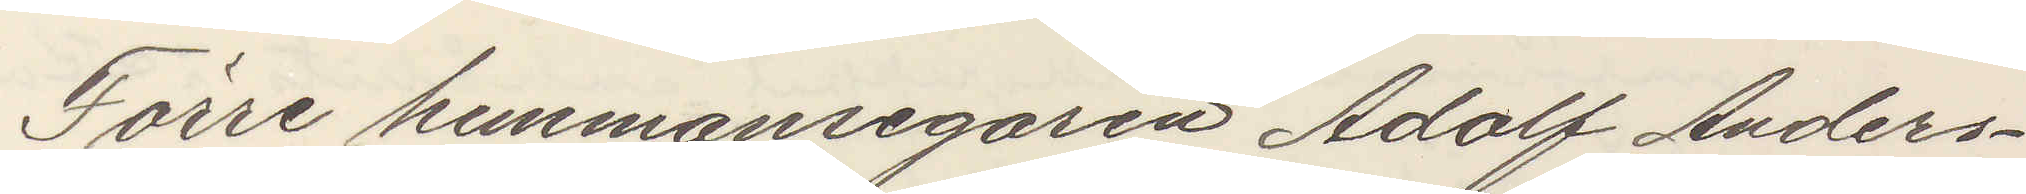Förre hemmansegaren Adolf Anders¬
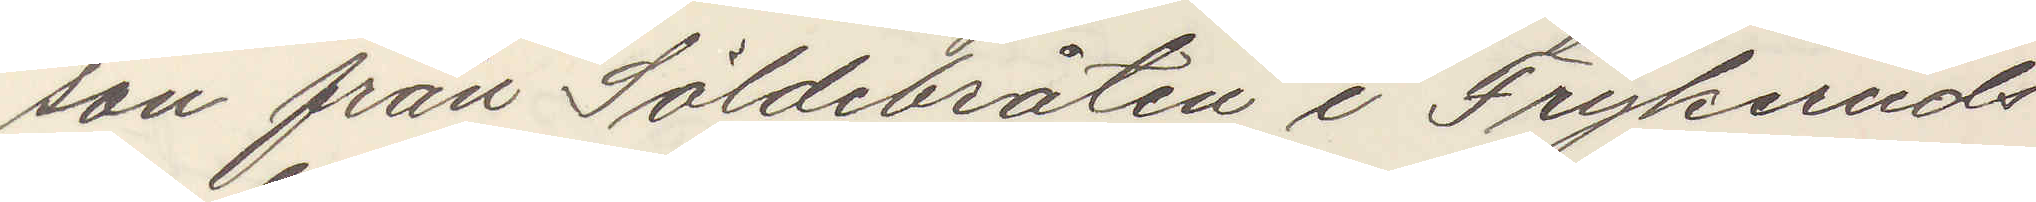son från Söldebråten i Frykeruds
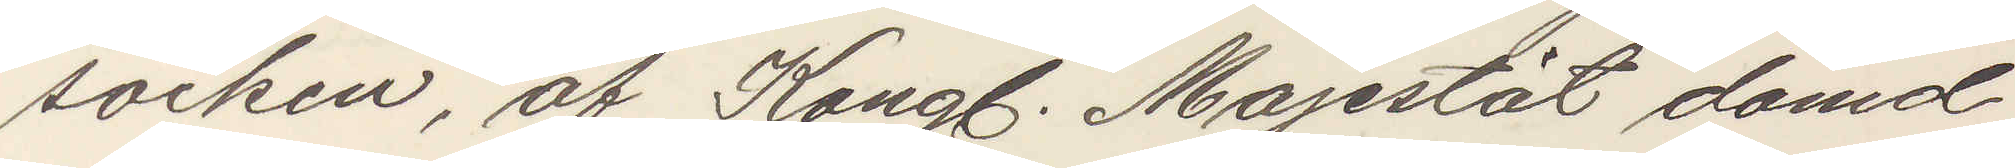socken, af Kongl. Majestät dömd
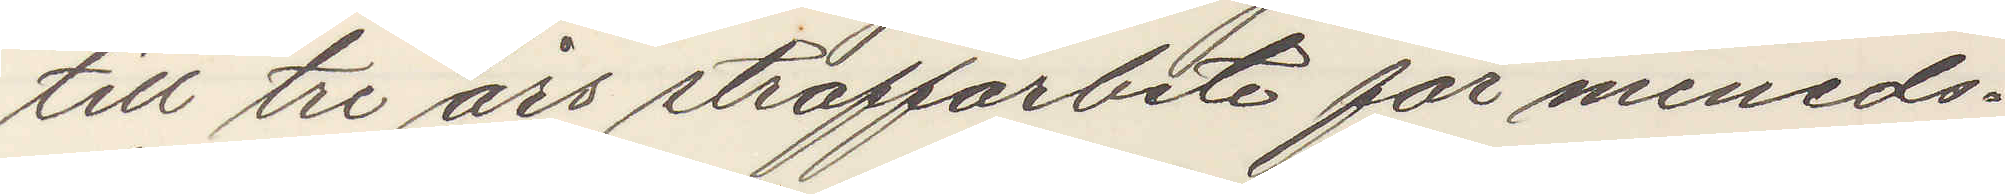till tre års straffarbete för meneds¬
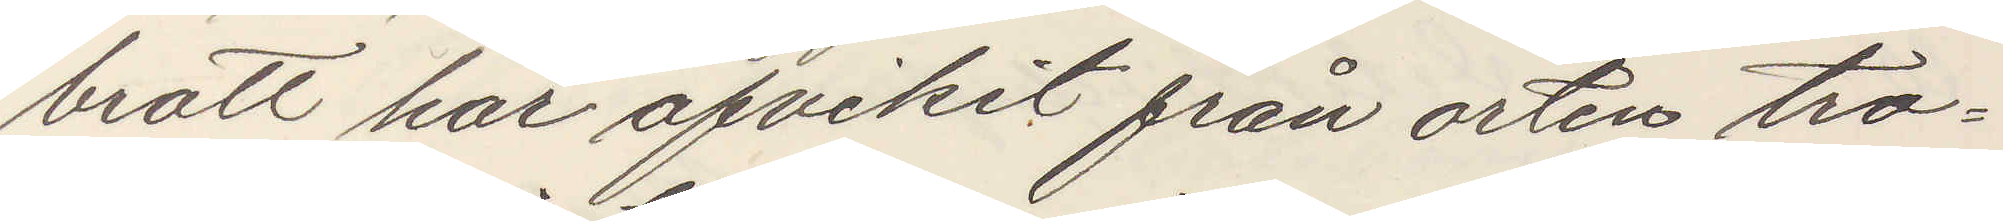brott har afvikit från orten tro¬
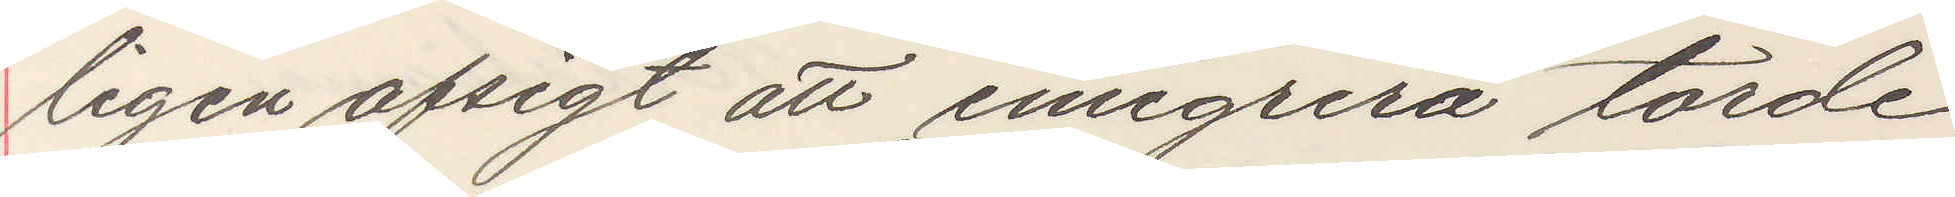ligen afsigt att emigrera torde
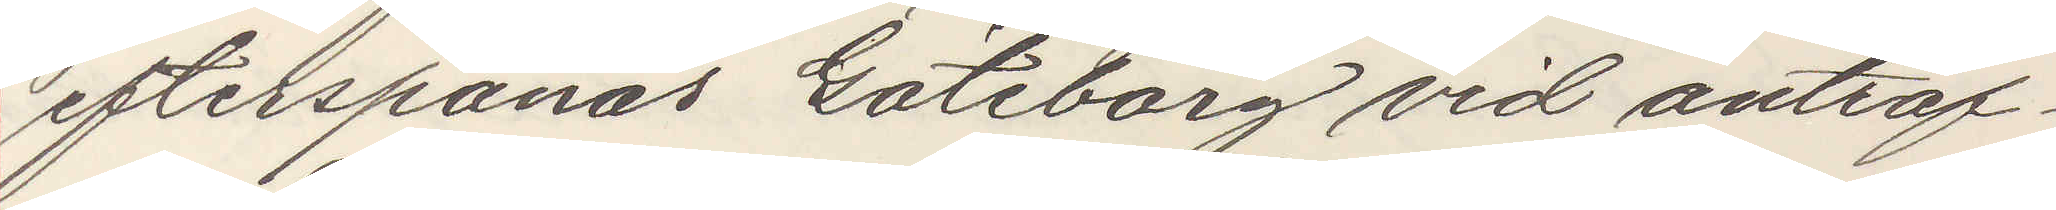efterspanas Göteborg vid anträf¬
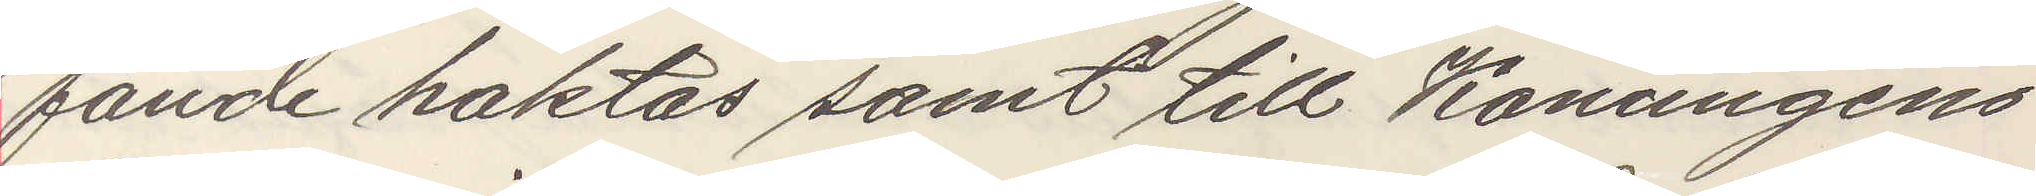fande haktas samt till Konungens
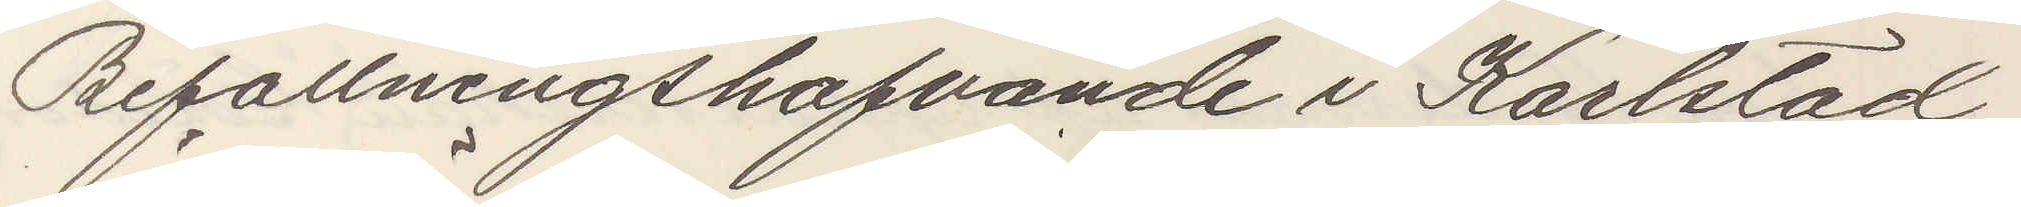Befallningshafvande i Karlstad
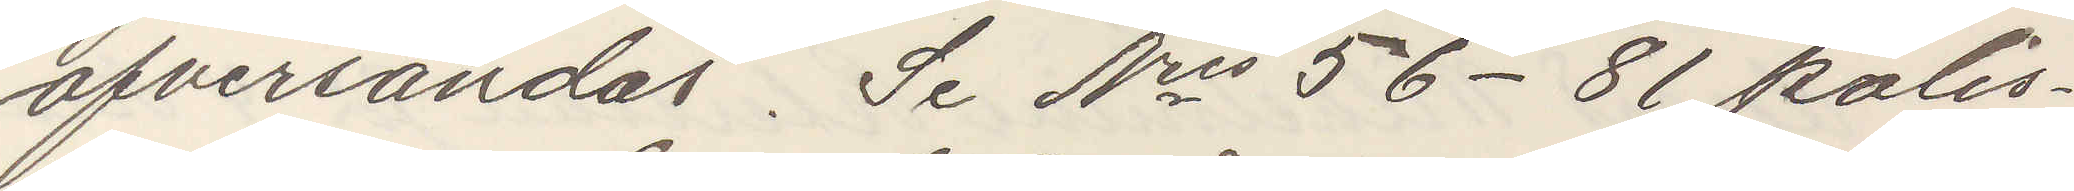öfversändas. Se Nris 56-81 polis¬
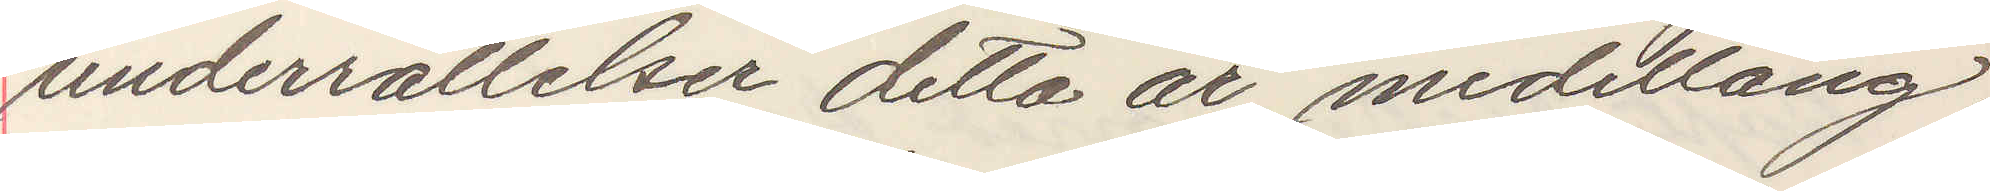underrattelser detta år, medellång,
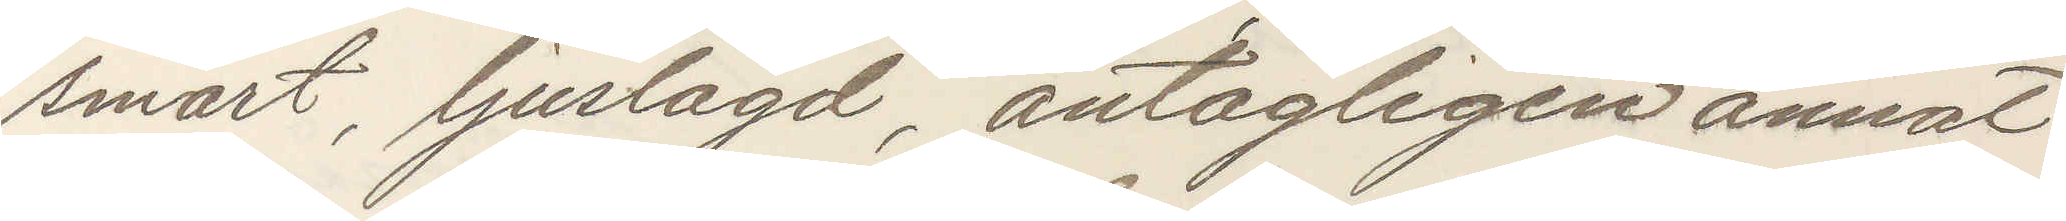smart, ljuslagd, antagligen annat
